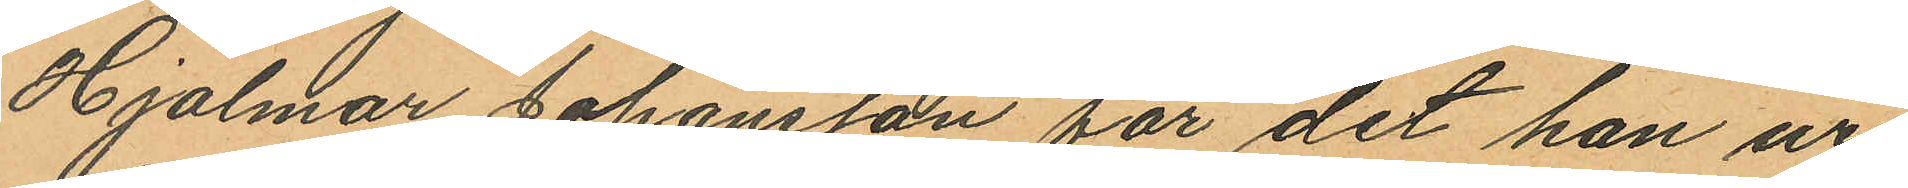Hjalmar Johansson för det han ur
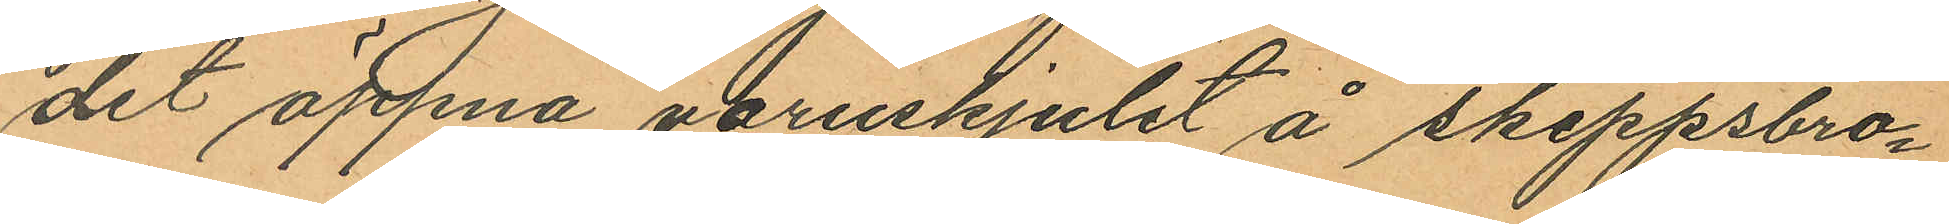det öppna varuskjulet å Skeppsbro¬
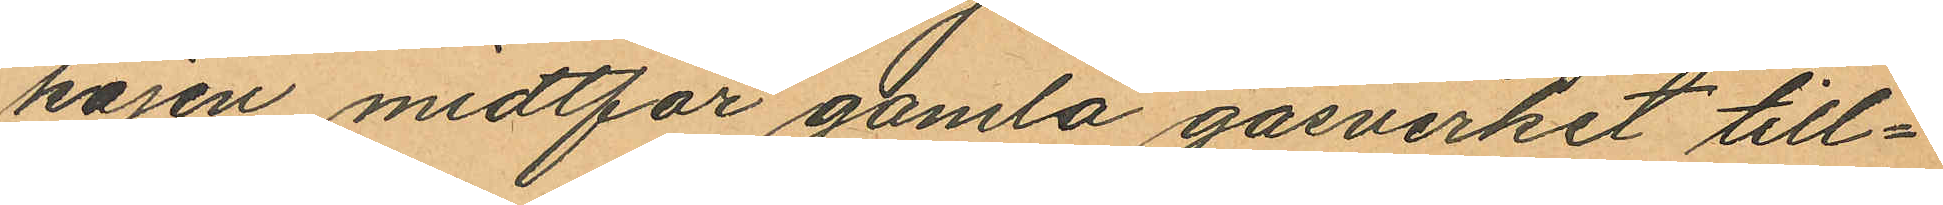kajen midtför gamla gasverket till¬
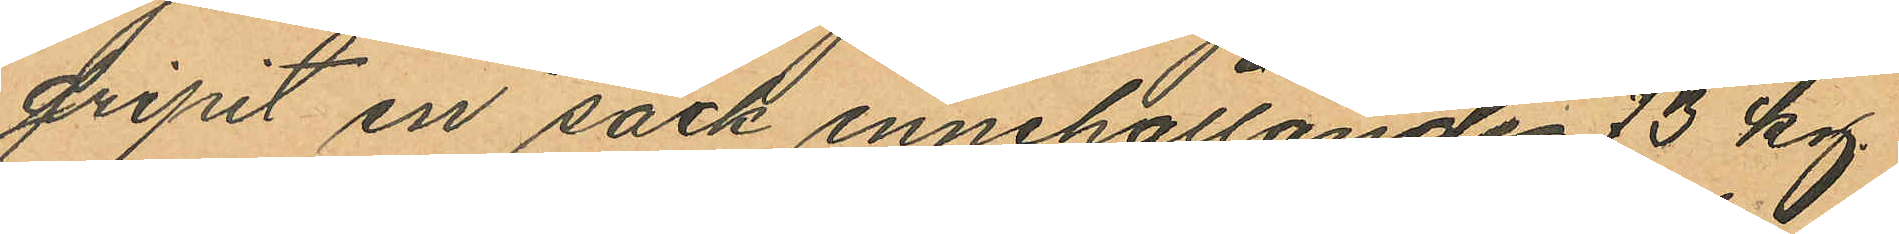gripit en säck innehållande 73 kg
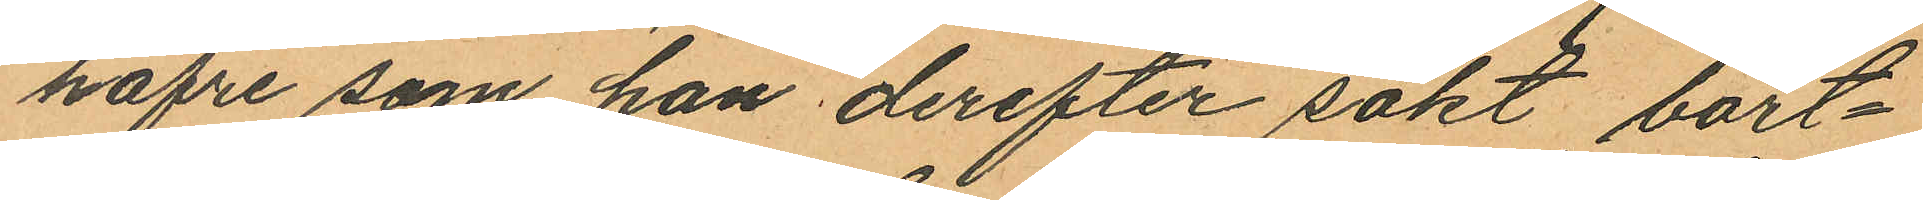hafre som han derefter sökt bort¬
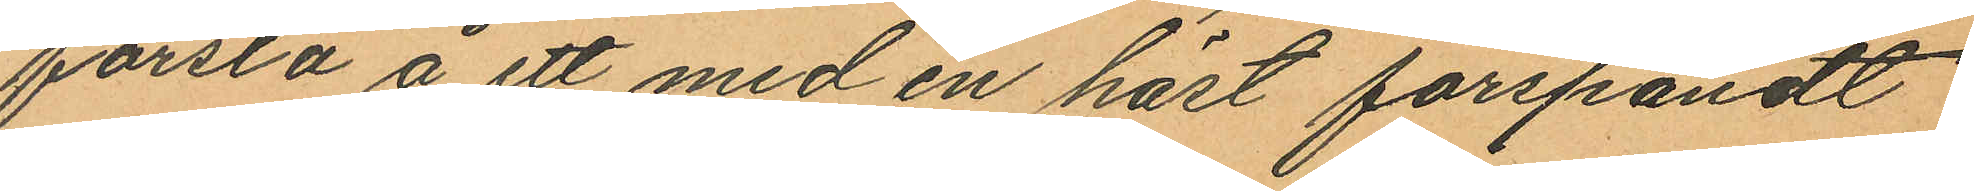forsla å ett med en häst förspändt
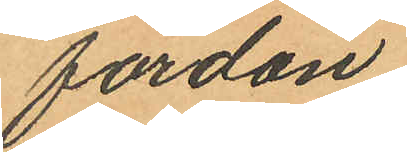fordon.
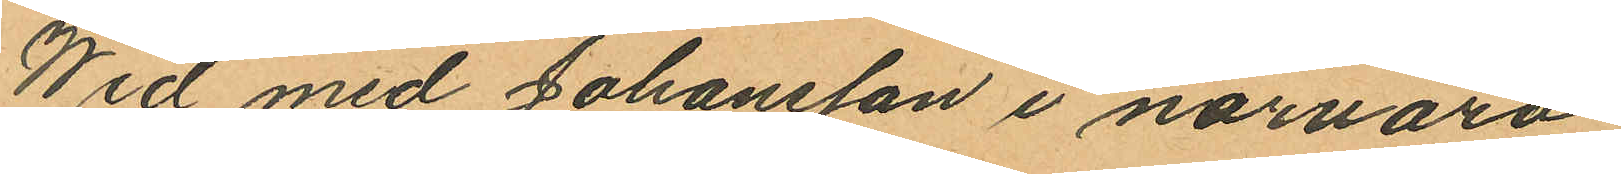Wid med Johansson i närvaro
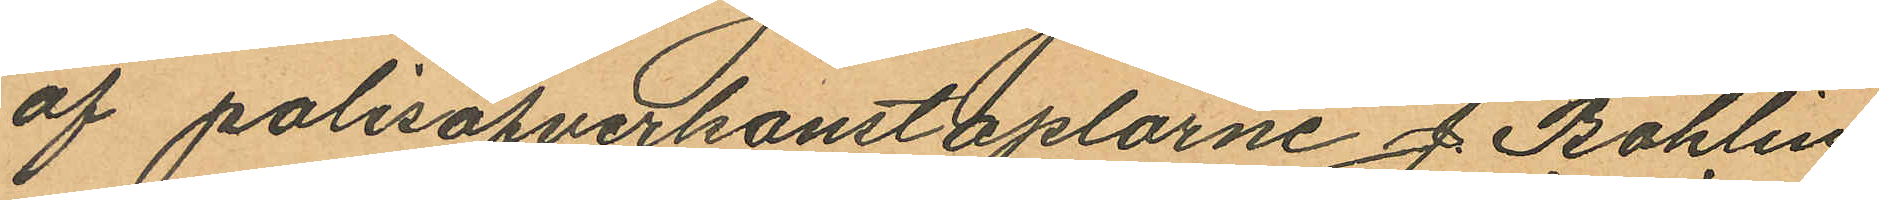af polisöfverkonstaplarne J. Bohlin
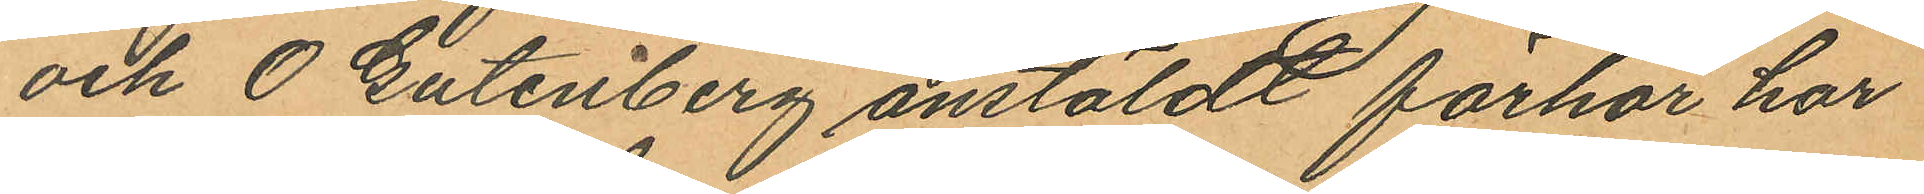och O Gutenberg anstäldt förhör har
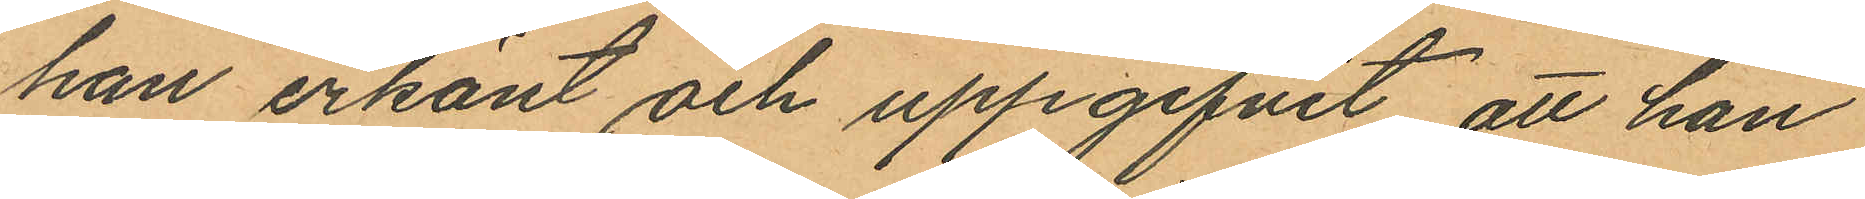han erkänt och uppgifvit, att han
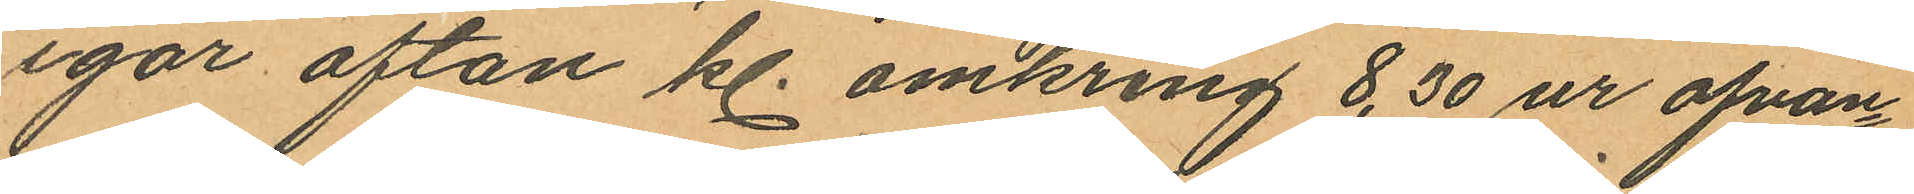igår afton kl. omkring 8,30 ur ofvan¬
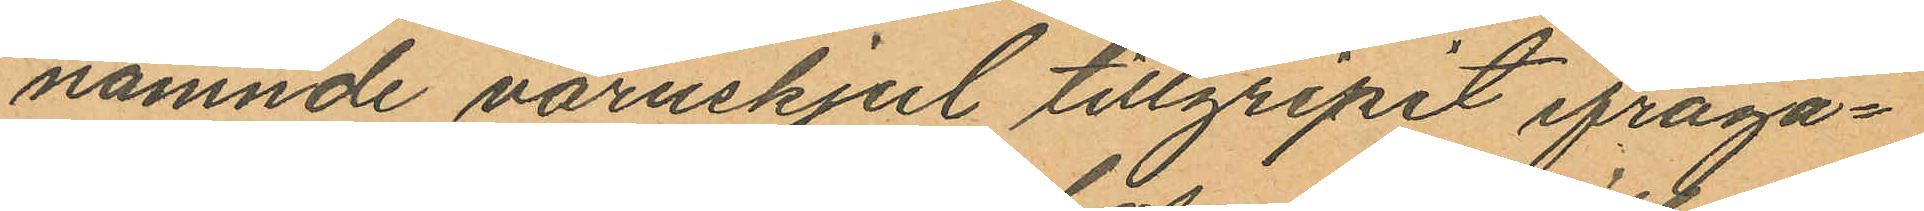nämnde varuskjul tillgripit ifråga¬
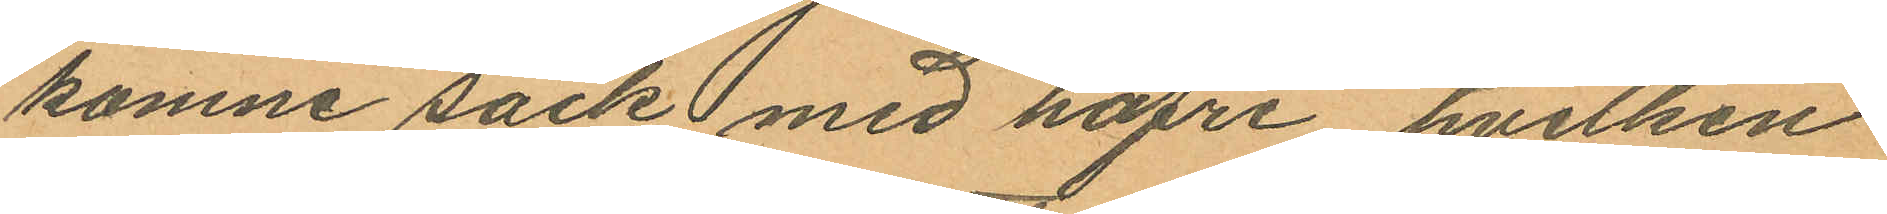komne säck med hafre hvilken
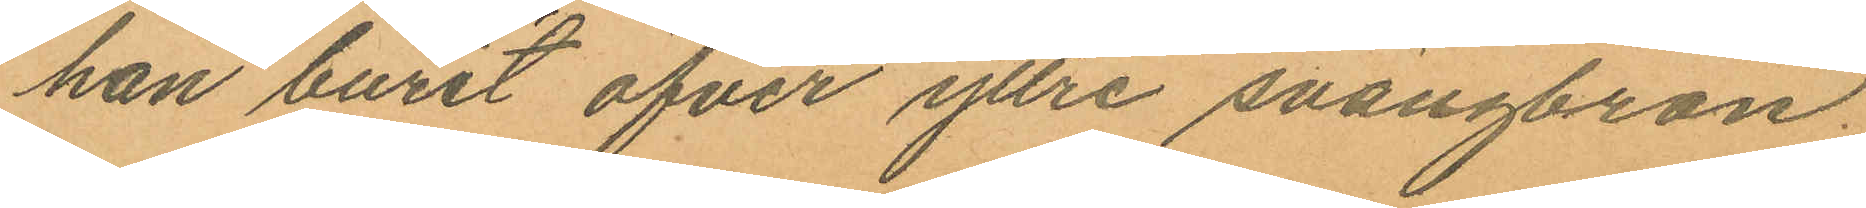han burit öfver yttre svängbron.
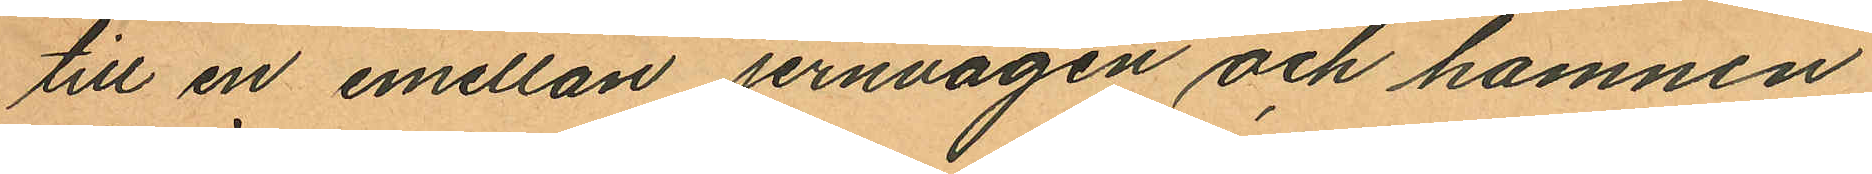till en emellan jernvågen och hamnen
